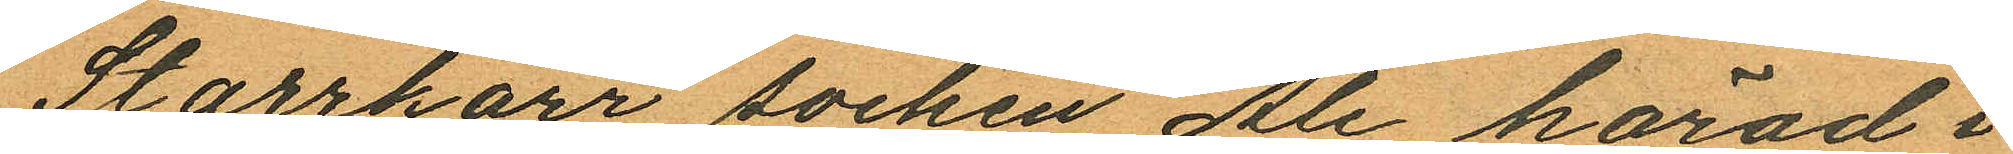Starrkärr socken Ale härad i
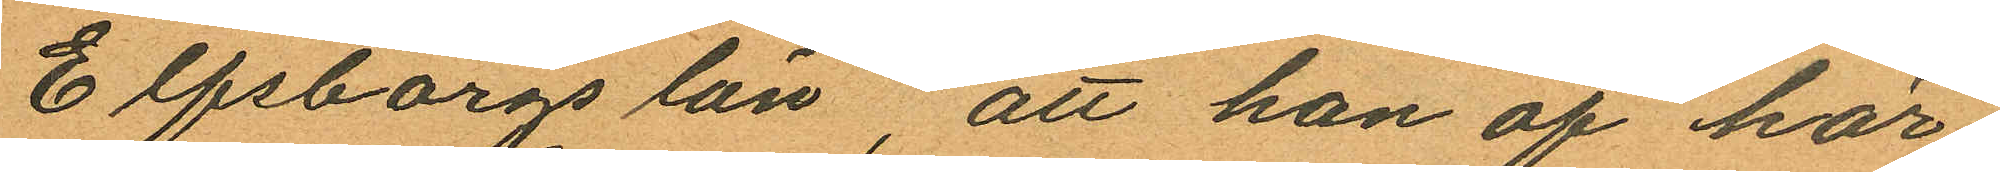Elfsborgs län, att han af här¬
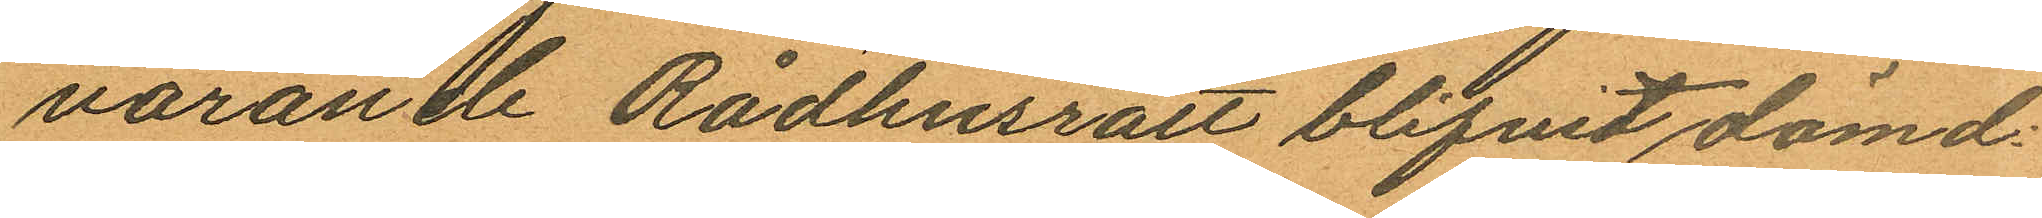varande Rådhusrätt blifvit dömd
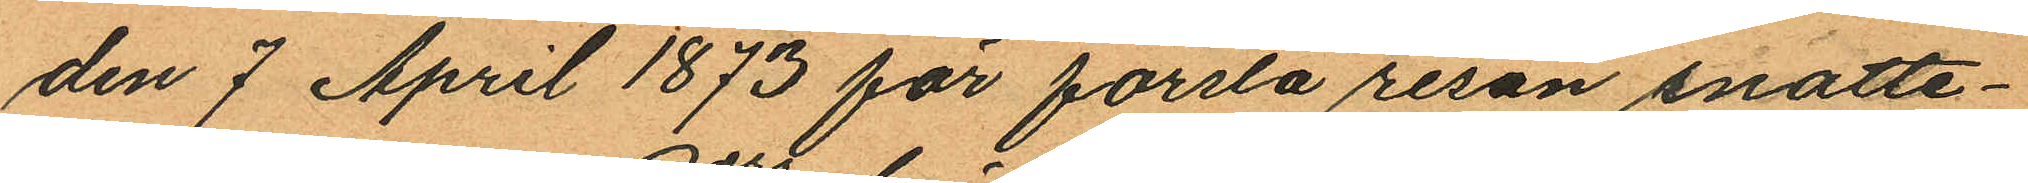den 7 April 1873 för första resan snatte¬
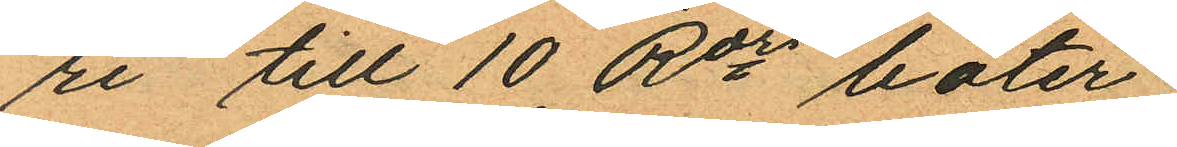ri till 10 Rdrs böter;
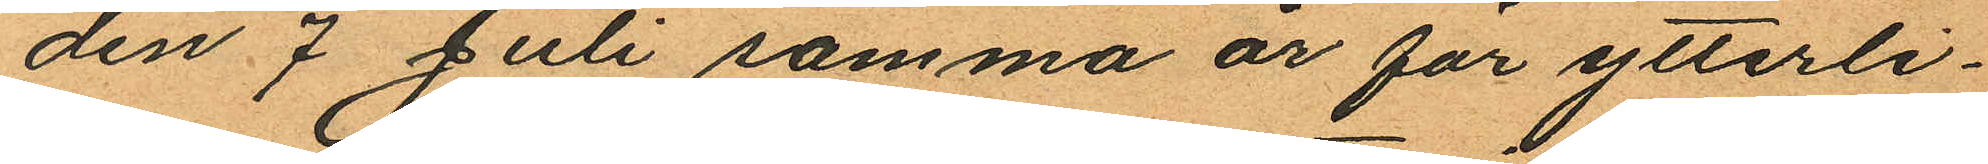den 7 Juli samma år för ytterli¬
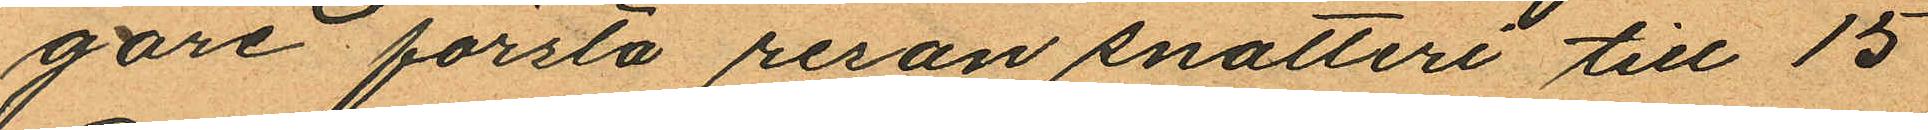gare första resan snatteri till 15
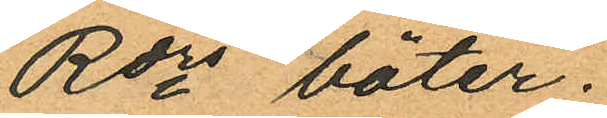Rdrs böter;
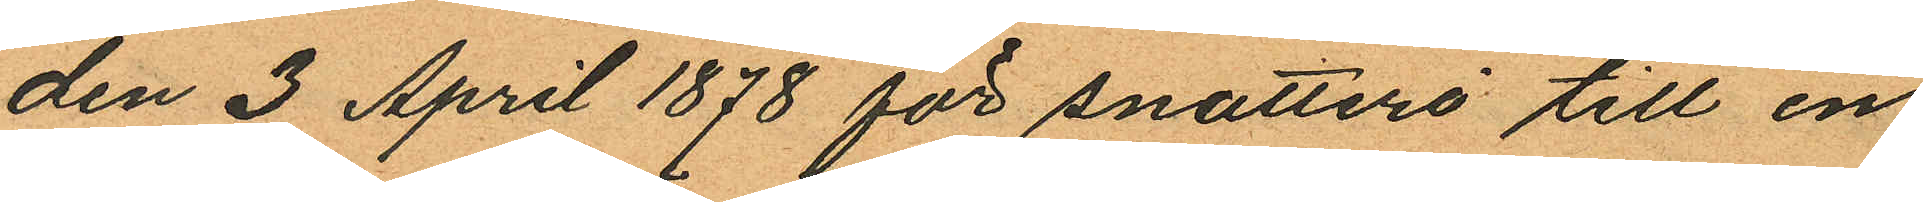den 3 April 1878 för snatteri till en
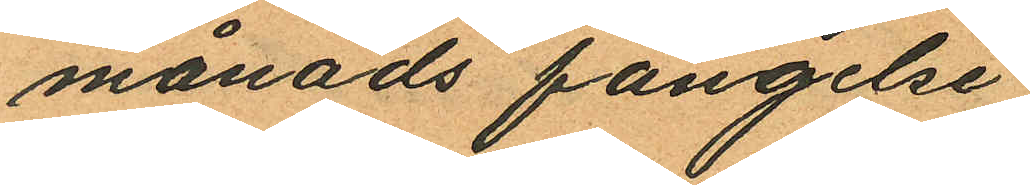månads fängelse;
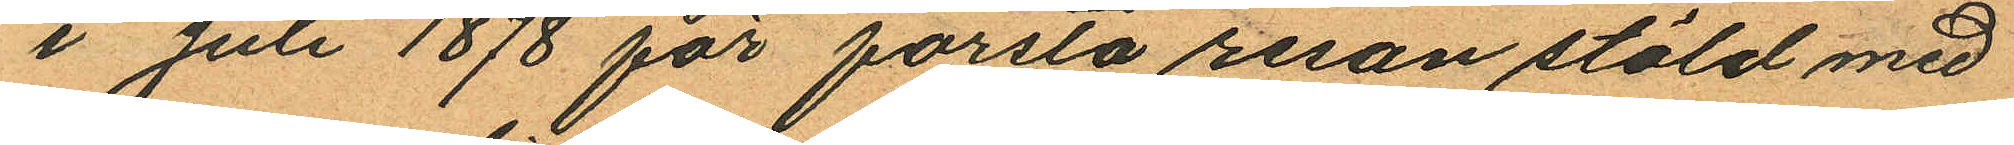i Juli 1878 för första resan stöld med
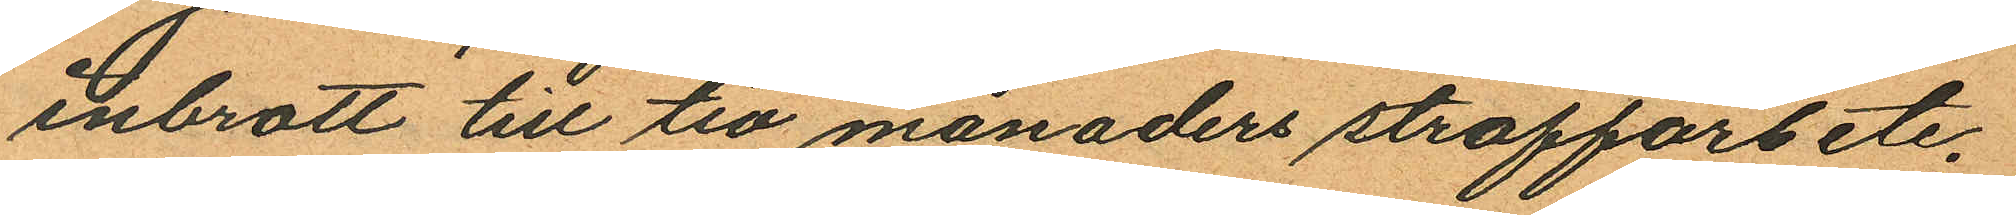inbrott till tio månaders straffarbete;
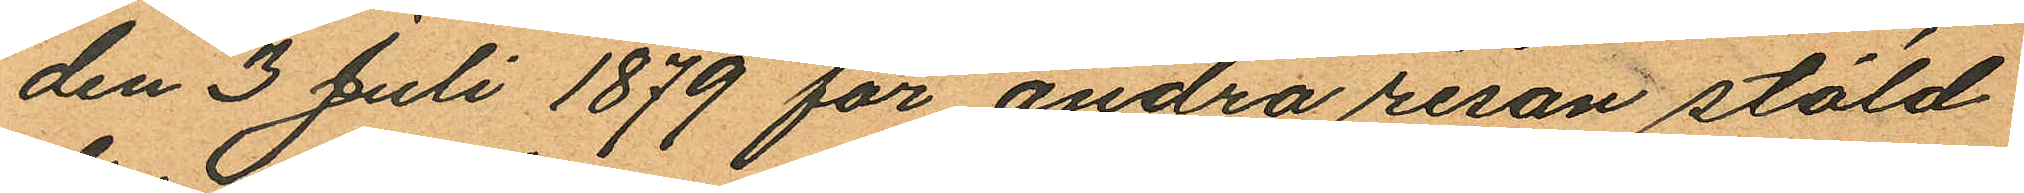den 3 Juli 1879 för andra resan stöld
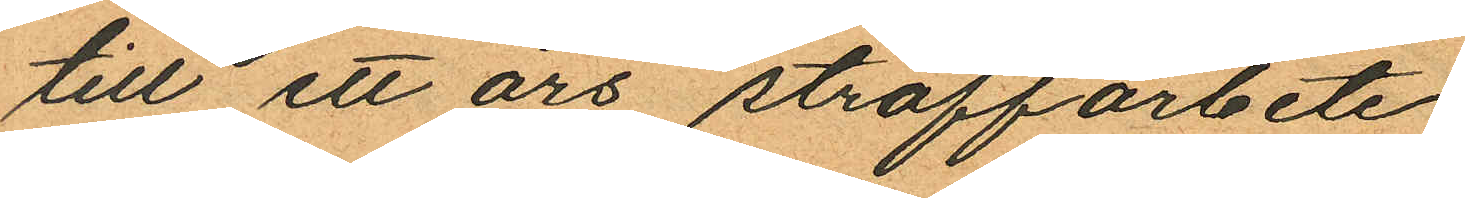till ett års straffarbete;
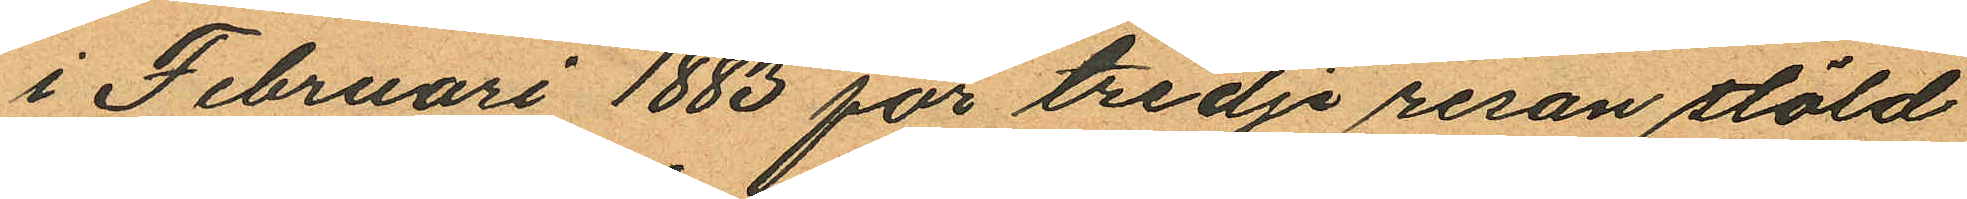i Februari 1883 för tredje resan stöld
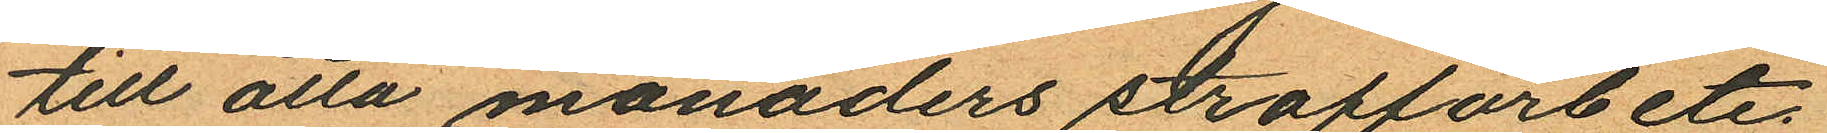till åtta månaders straffarbete;
